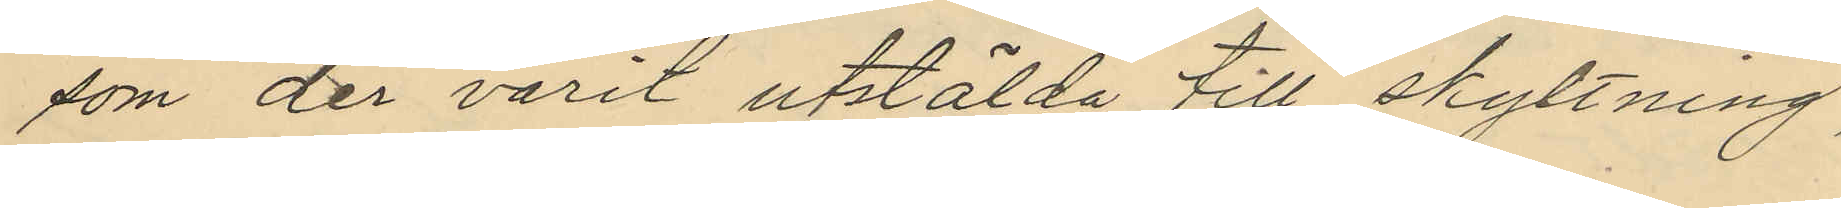som der varit utstälda till skyltning,
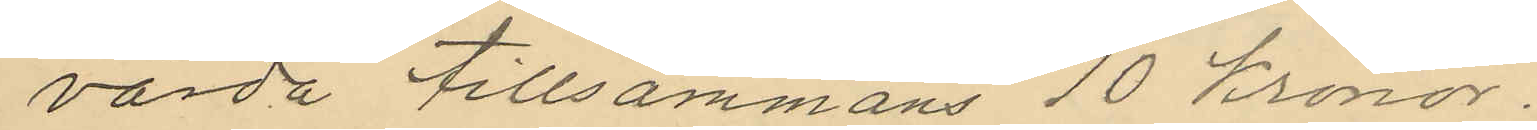värda tillsammans 10 Kronor.
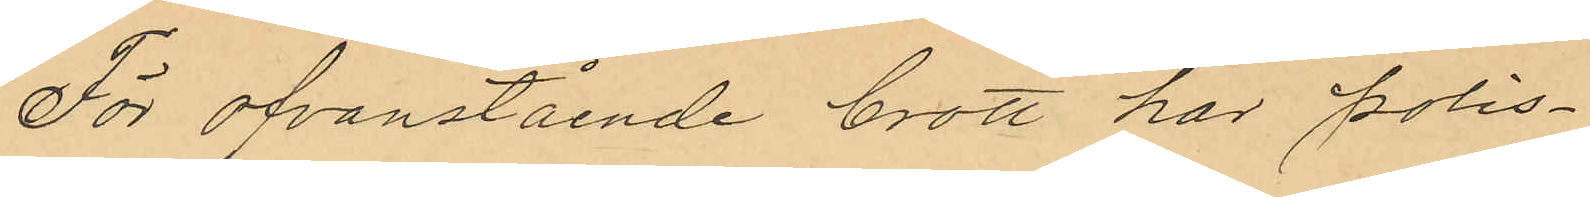För ofvanstående brott har Polis¬
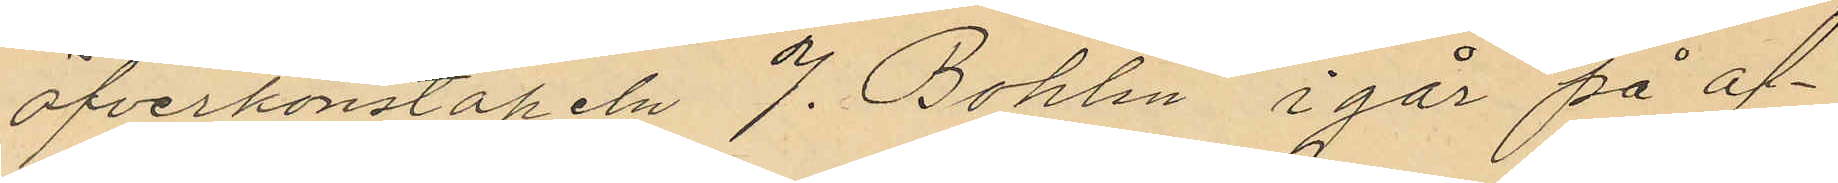öfverkonstapeln J. Bohlin i går på af¬
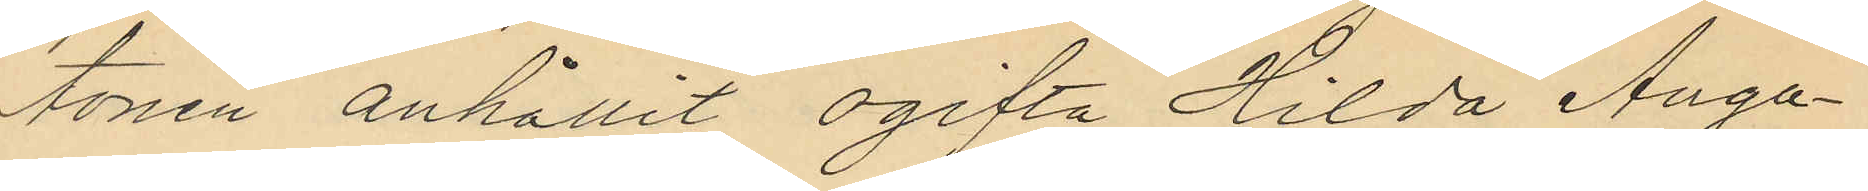tonen anhållit ogifta Hilda Augu¬
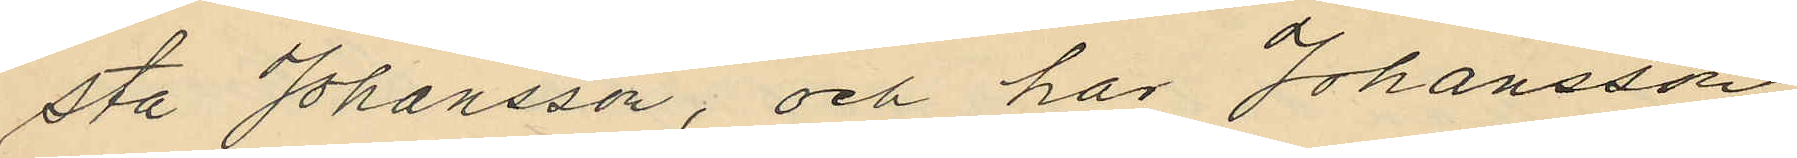sta Johansson; och har Johansson
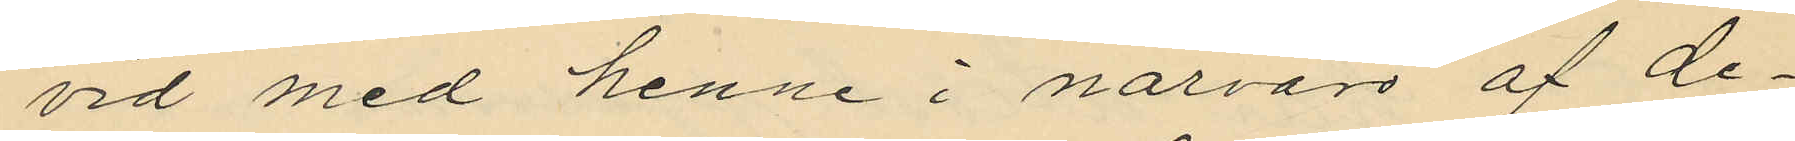vid med henne i närvaro af de¬
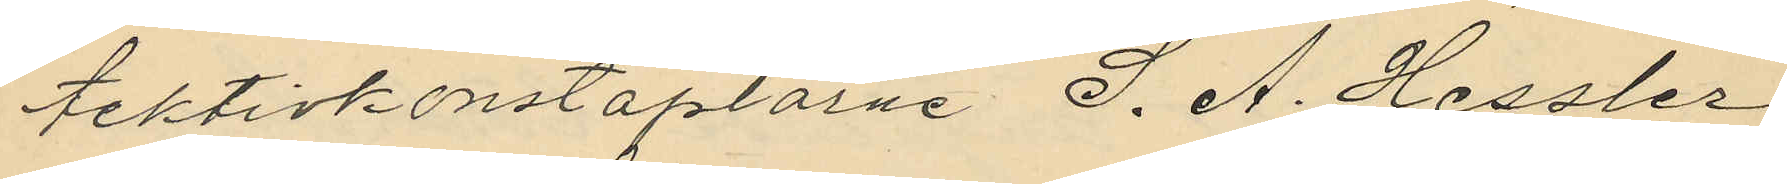tektivkonstaplarne S. A. Hessler
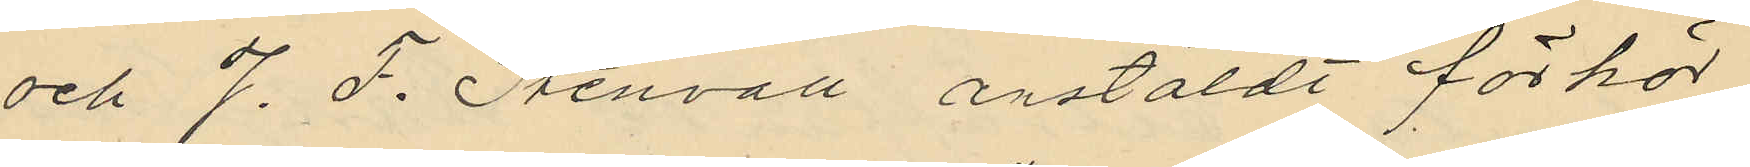och J. F. Stenvall anstäldt förhör,
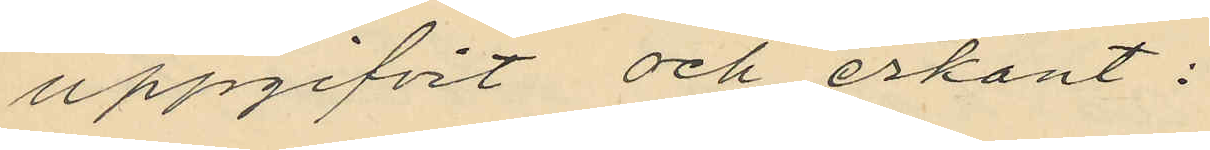uppgifvit och erkänt:
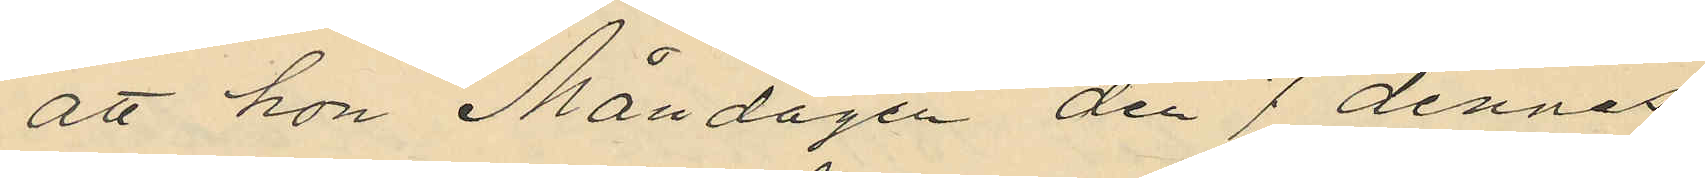att hon Måndagen den 7 dennes
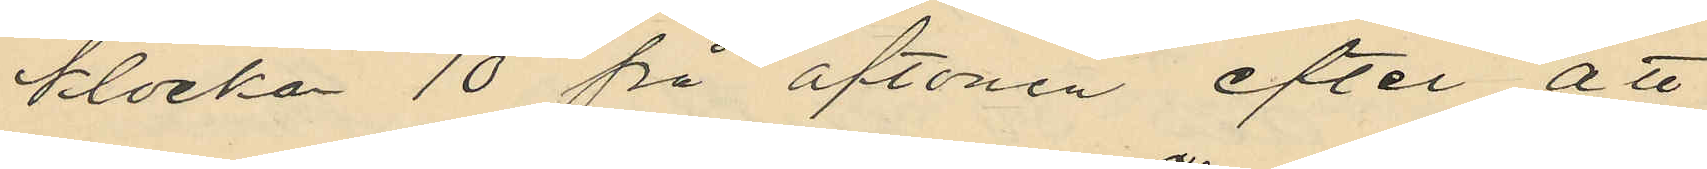klocka 10 på aftonen efter att
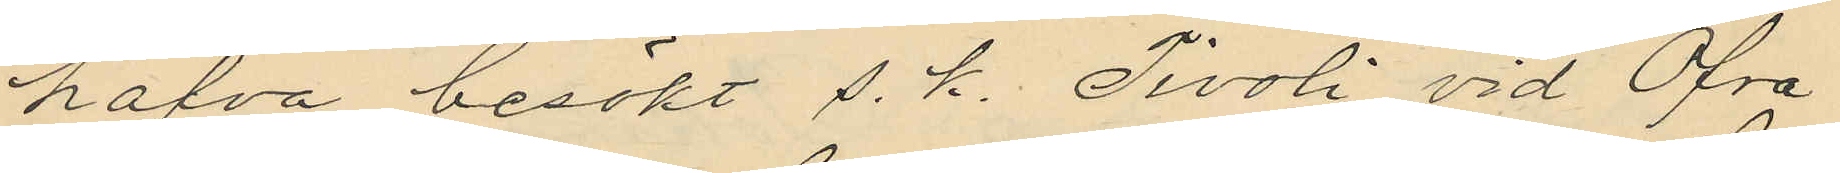hafva besökt s. k. Tivoli vid Öfra
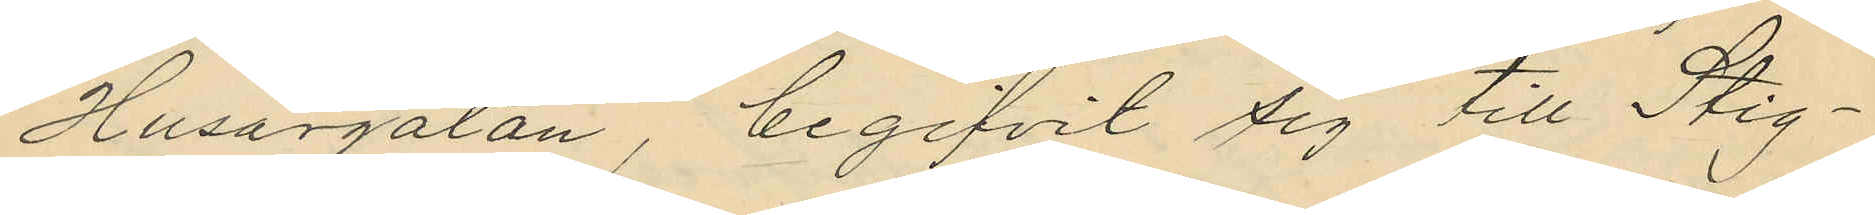Husargatan, begifvit sig till Stig¬
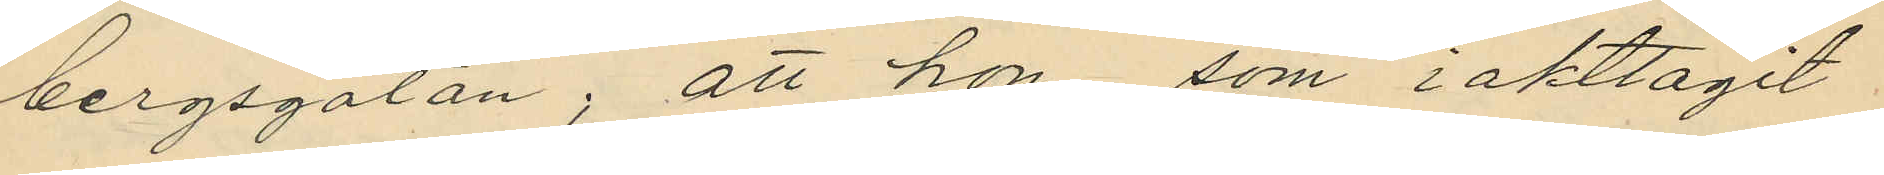bergsgatan; att hon, som iakttagit
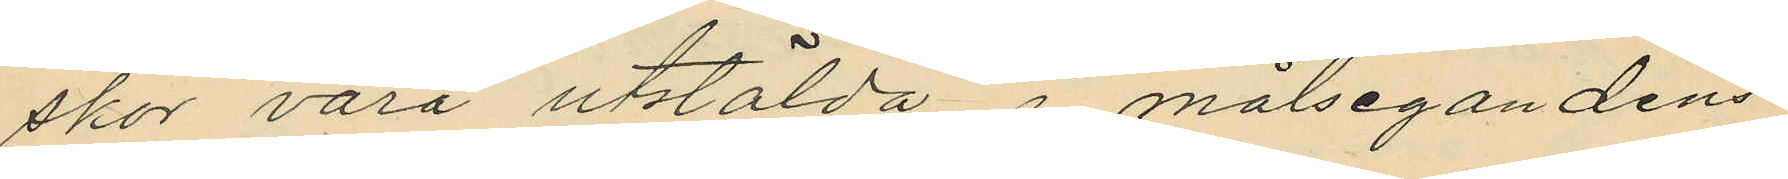skor vara utstälda i målsegandens
